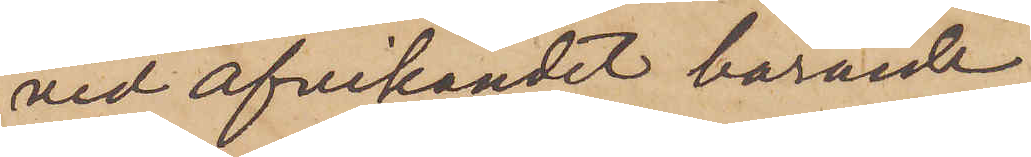vid afvikandet bärande
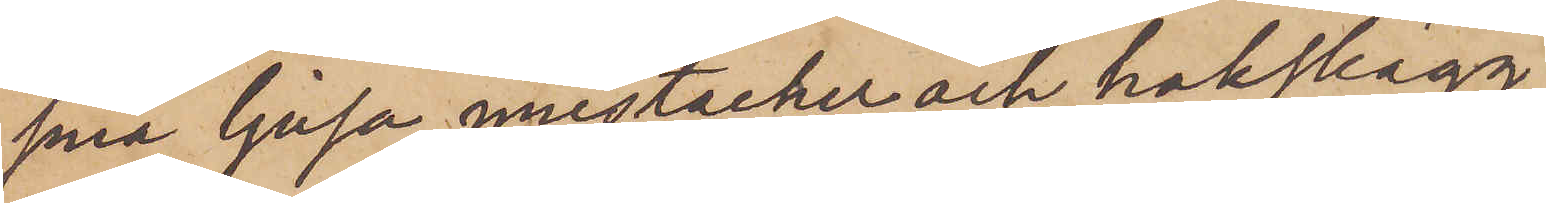små ljusa mustacher och hakskägg
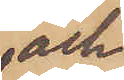och
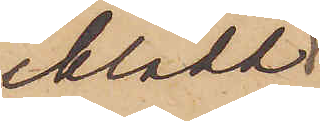iklädd
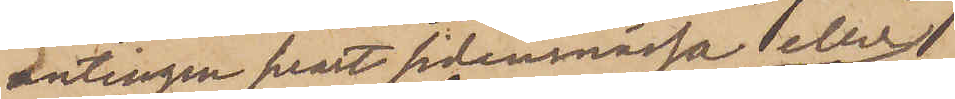antingen svart sidenmössa eller
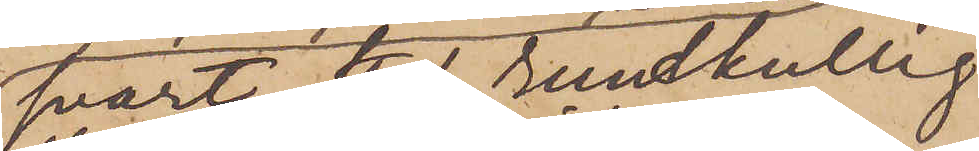svart styf rundkullig
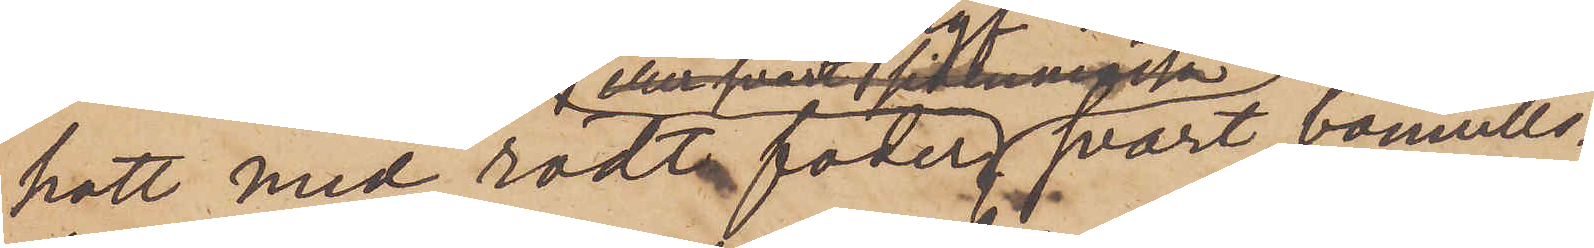hatt med rödt foder, svart bomulls¬
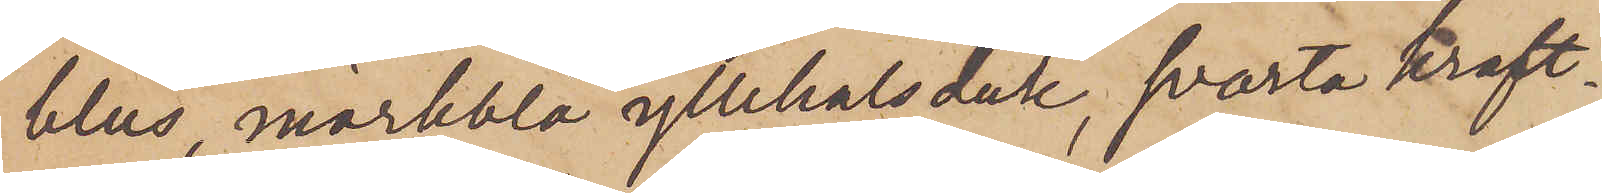blus, mörkblå yllehalsduk, svarta kraft¬
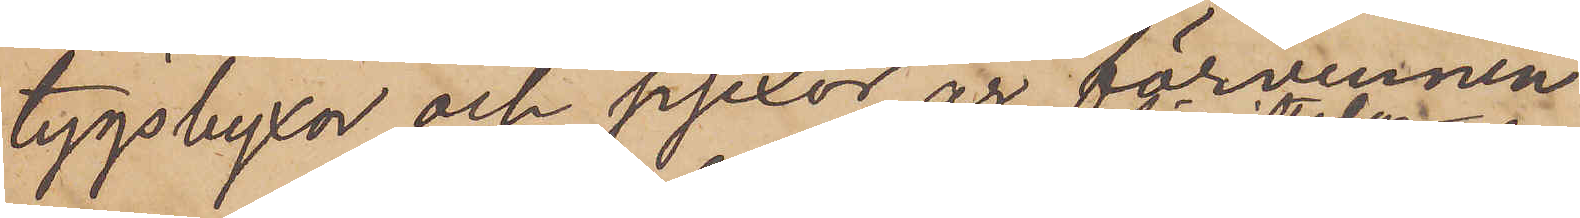tygsbyxor och pjexor, är förvunnen
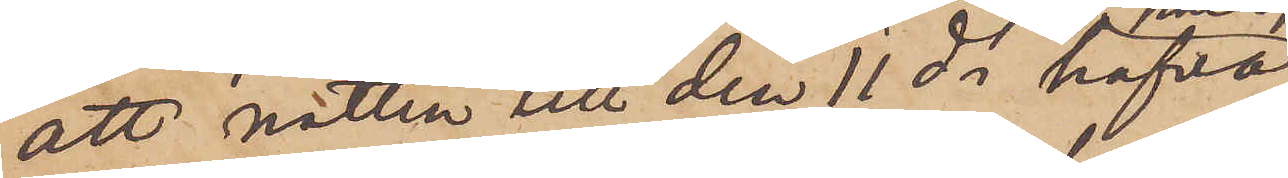att natten till den 11 ds hafva
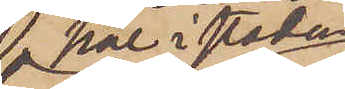här i staden
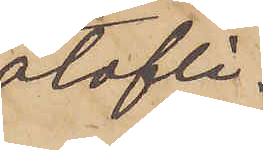olofli¬
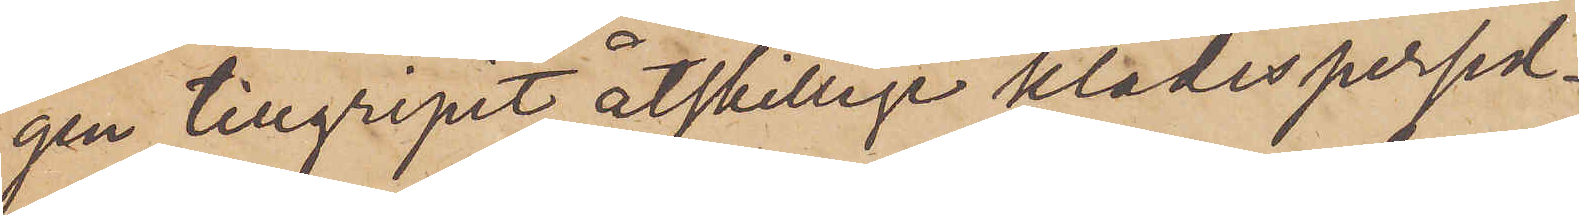gen tillgripit åtskillige klädespersed¬
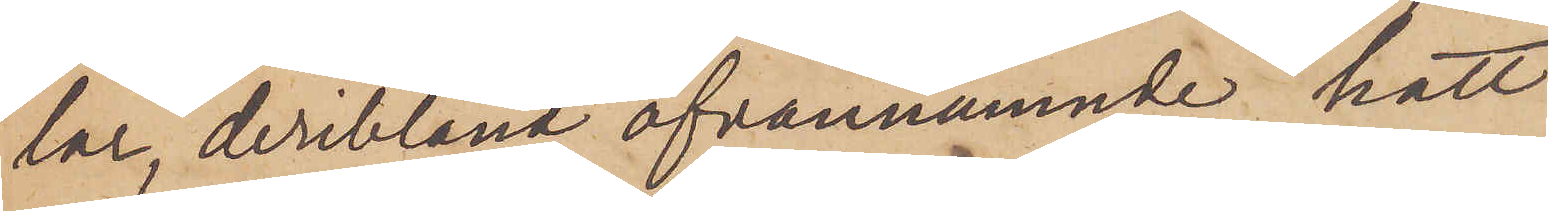lar, deribland ofvannämnde hatt
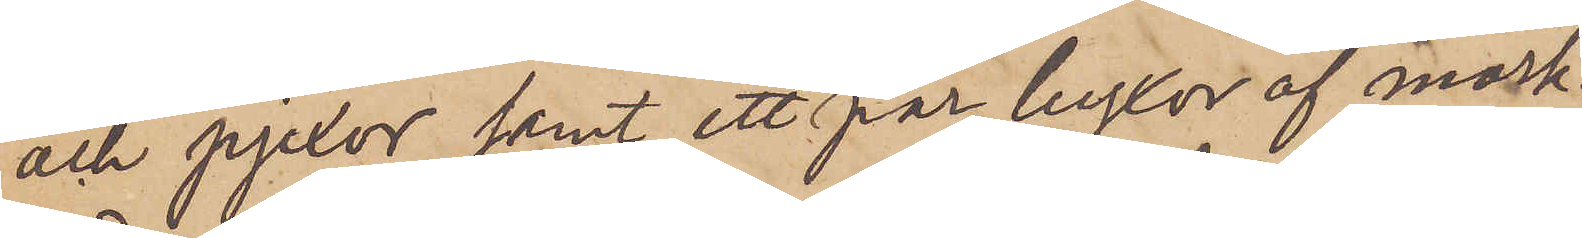och pjexor samt ett par byxor af mörk¬
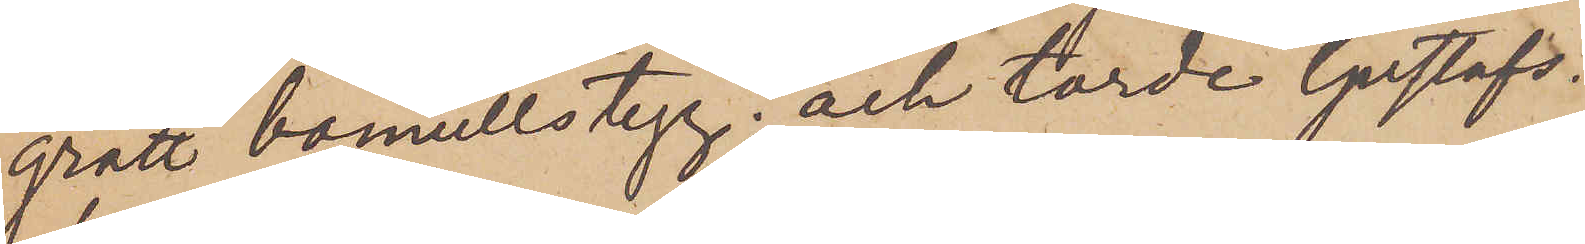grått bomullstyg; och torde Gustafs¬
